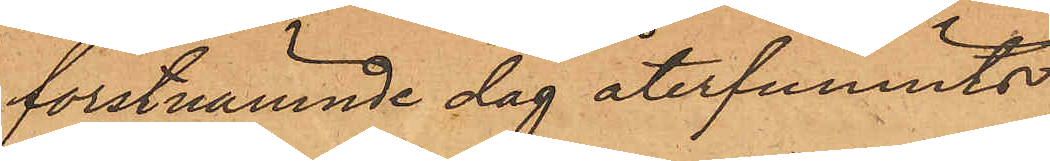förstnämnde dag återfunnits
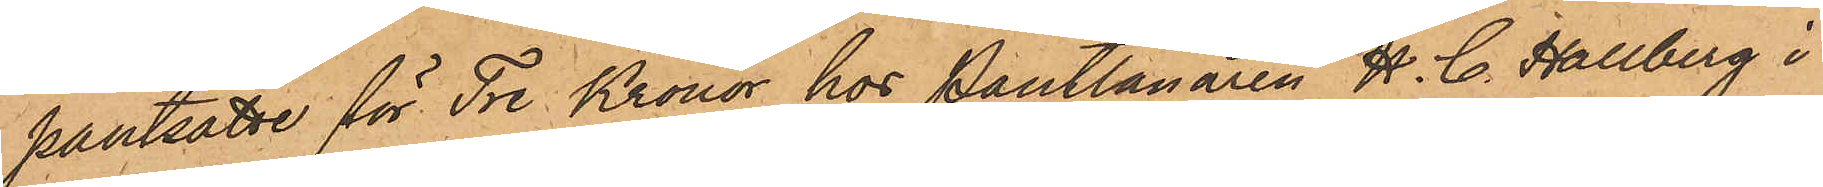pantsatte för Tre Kronor hos Pantlånaren H. C. Hallberg i
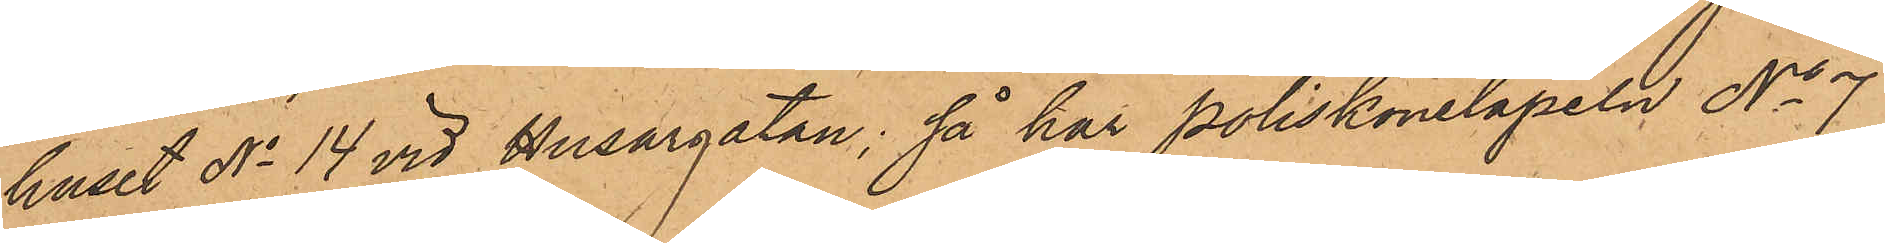huset No 14 vid Husargatan, så har Poliskonstapeln No 7
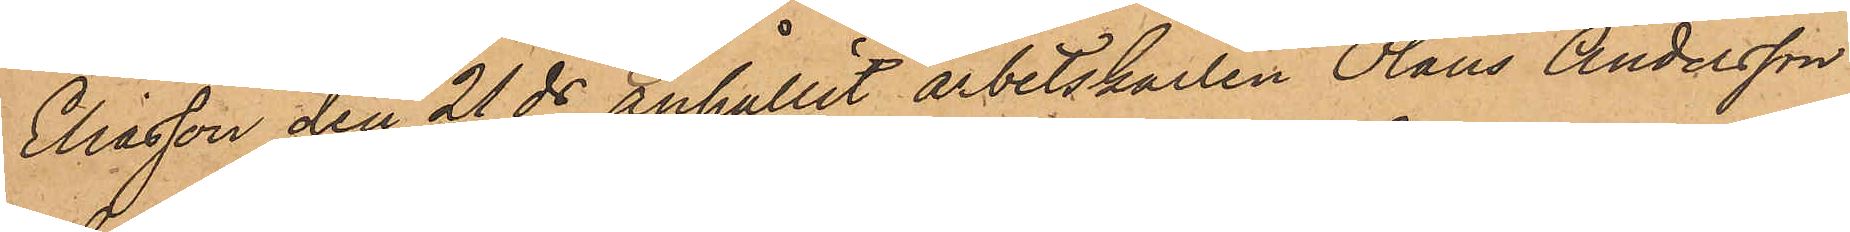Eliasson den 21 ds anhållit arbetskarlen Olaus Andersson
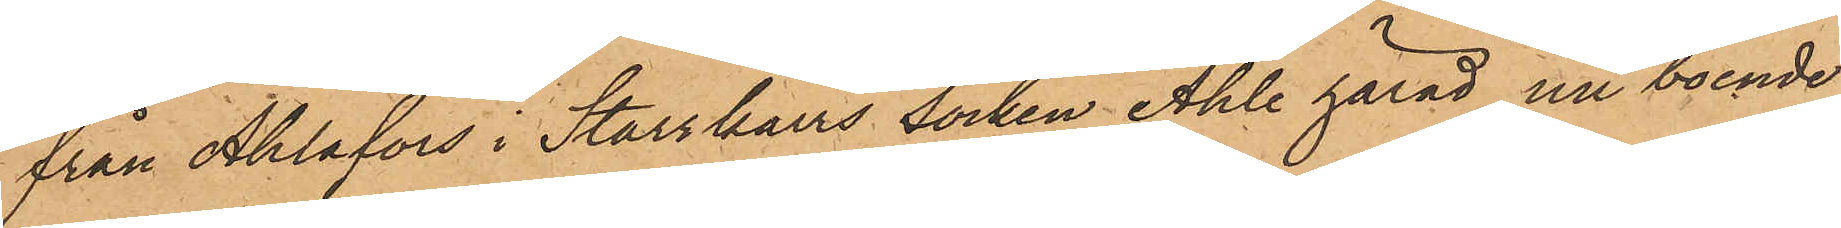från Ahlafors i Starrkärrs Socken Ahle härad, nu boende
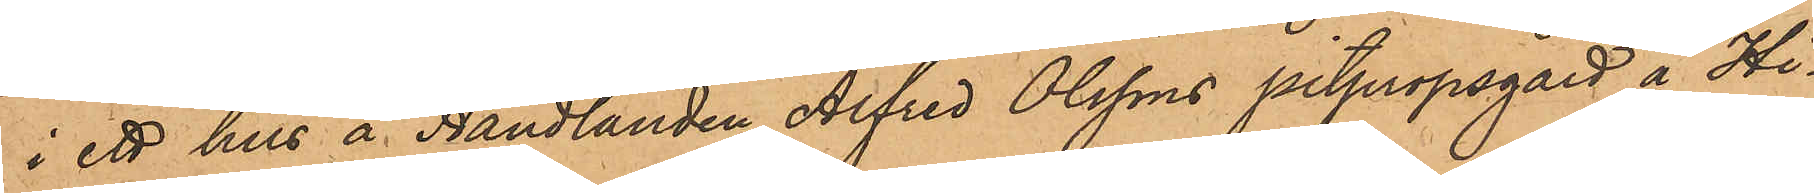i ett hus å Handlanden Alfred Olssons pitpropsgård å Hi¬
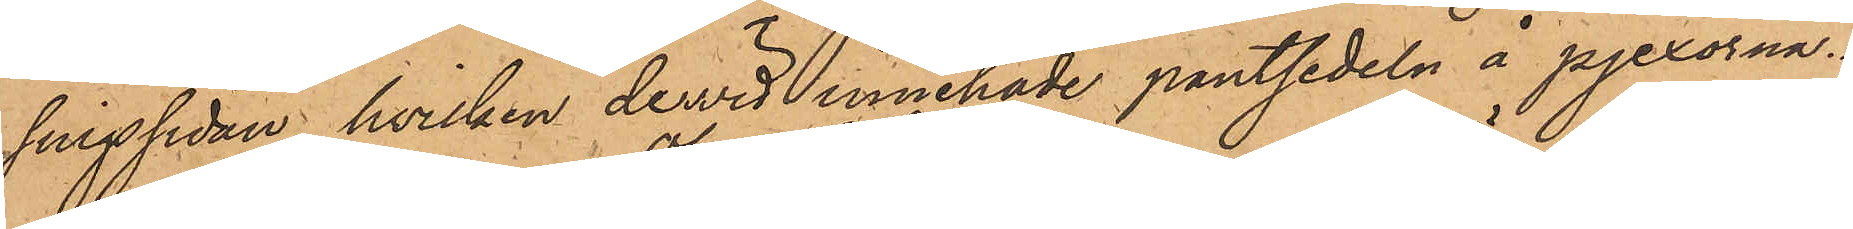singssidan, hvilken dervid innehade pantsedeln å pjexorna.
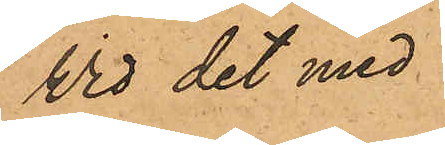Wid det med
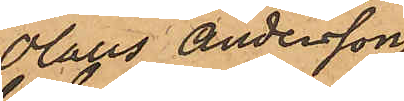Olaus Andersson
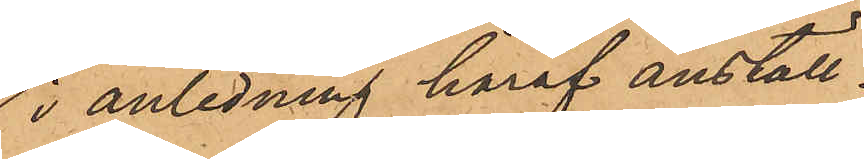i anledning häraf anställ¬
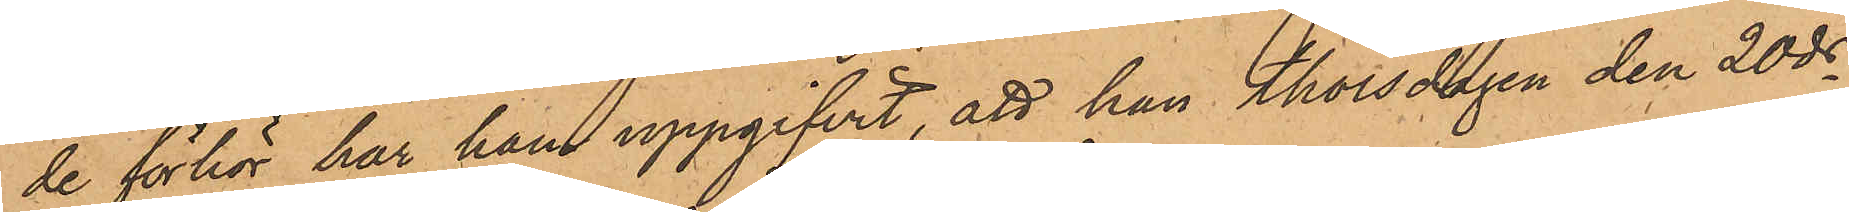de förhör har han uppgifvit, att han Thorsdagen den 20 ds
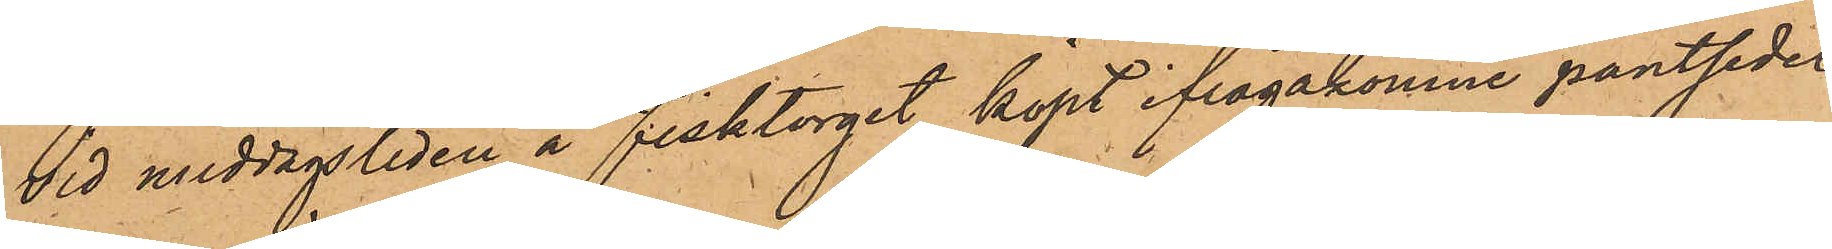vid middagstiden å Fisktorget köpt ifrågakomne pantsedel
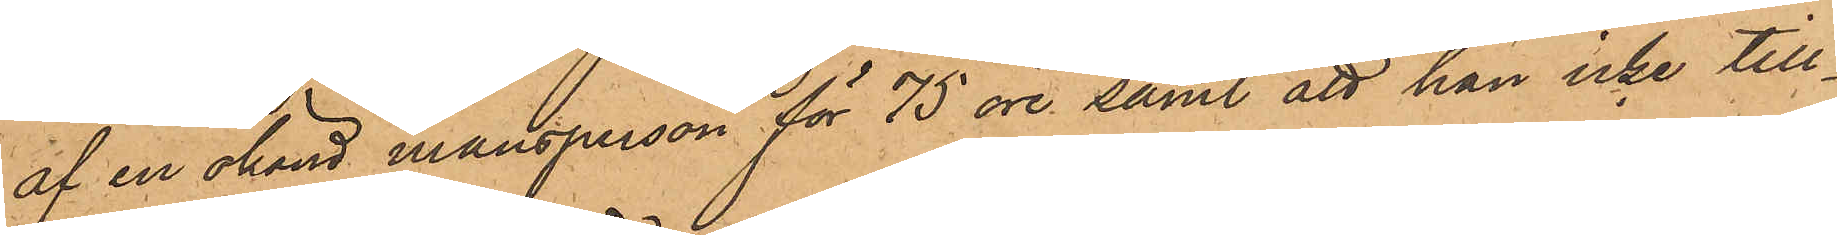af en okänd mansperson för 75 öre, samt att han icke till¬
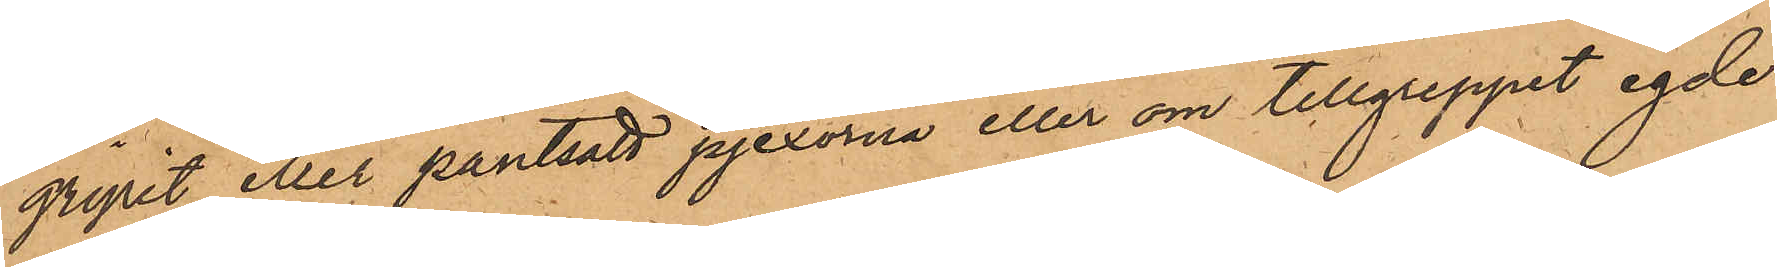gripit eller pantsatt pjexorna eller om tillgreppet egde
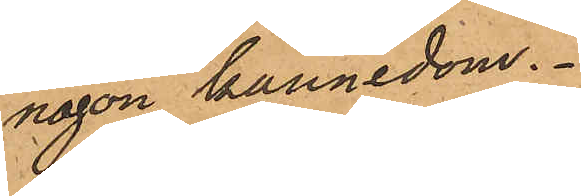någon kännedom.
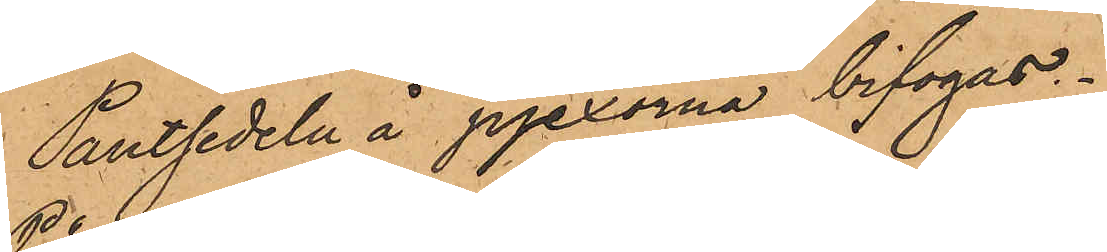Pantsedeln å pjexorna bifogas.
